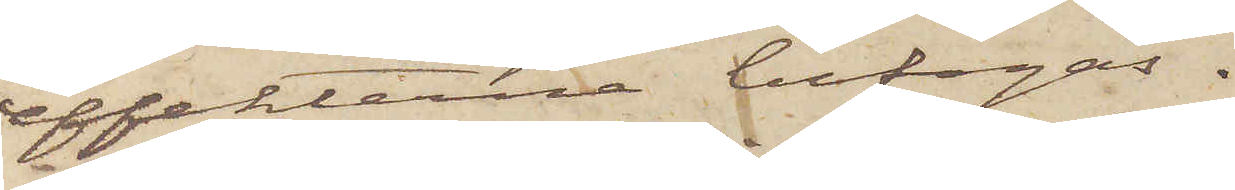effekterna bifogas.
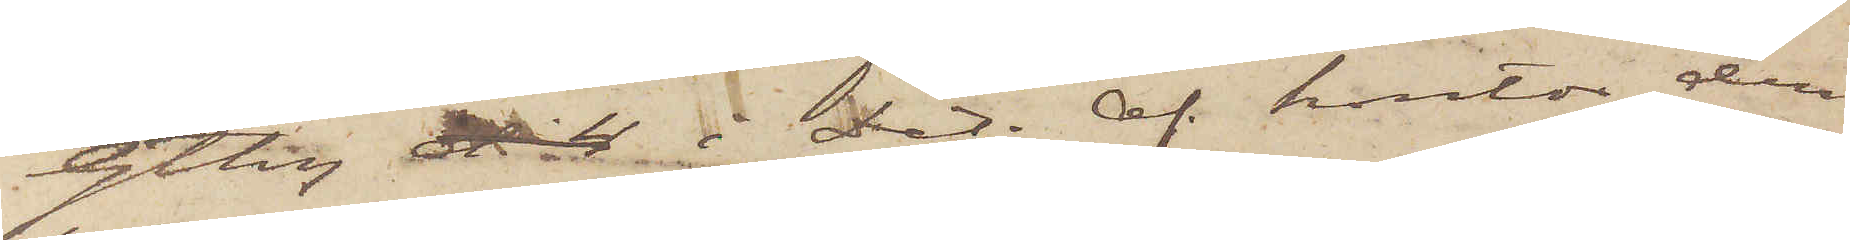Gtbg d. 4 i Det. Af. kontor den
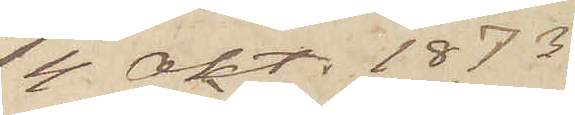4 Okt. 1873
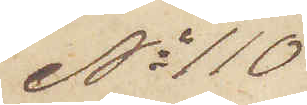No 110
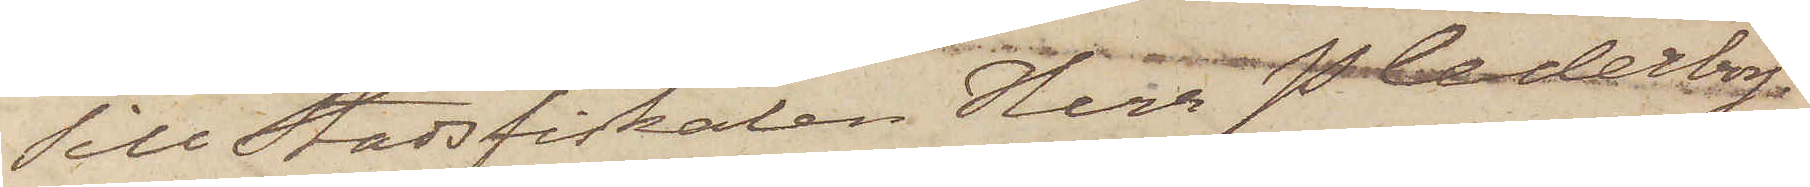Till Stadsfiskalen Herr P Cederborg.
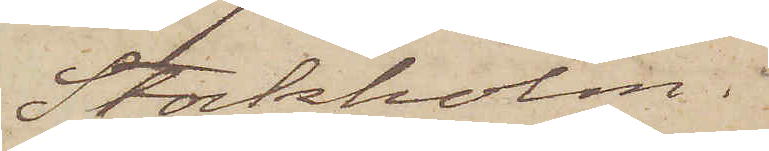Stockholm.
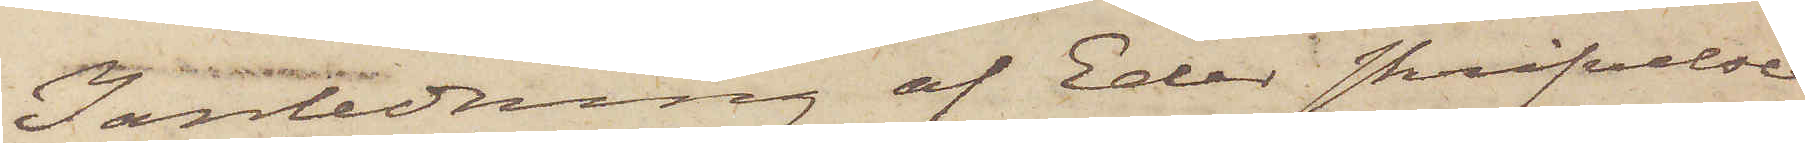I anledning af Eder skrifvelse
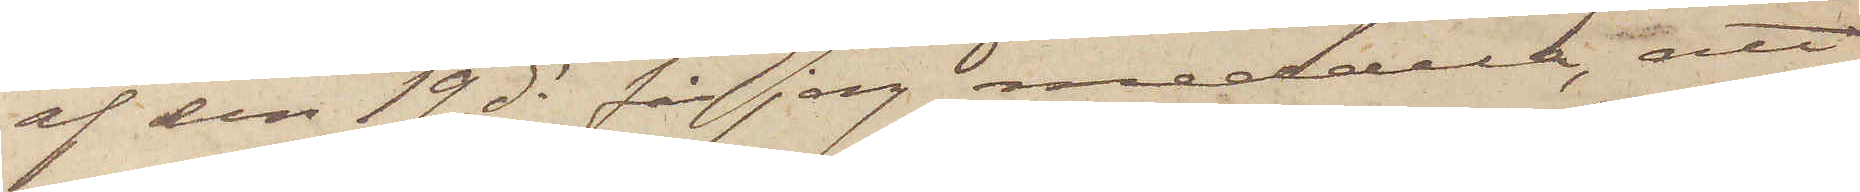af den 19 ds får jag meddela, att
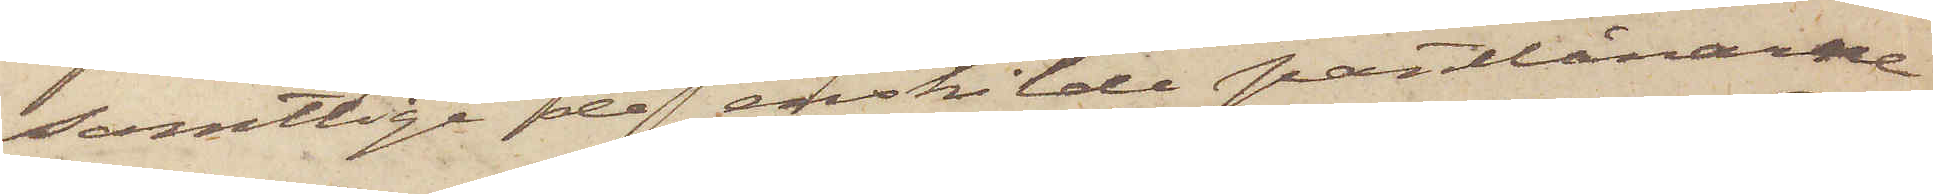samtlige de enskilde pantlånarne
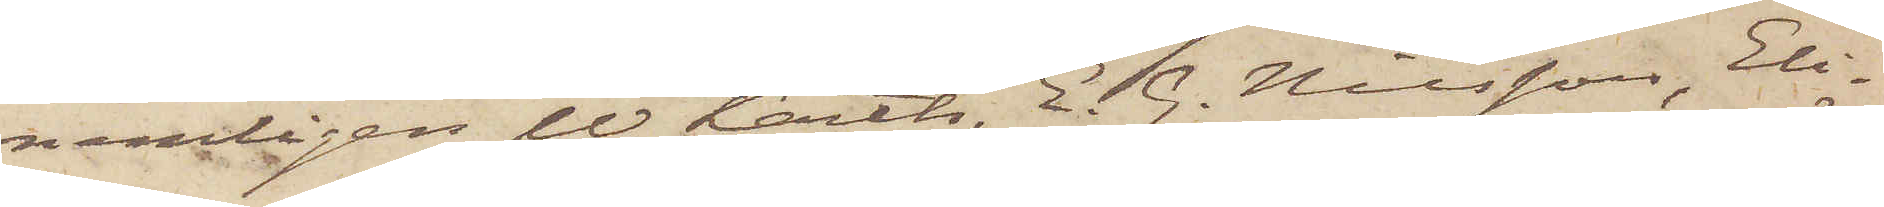nemligen W. Karth, E. G. Nilsson, Eli¬
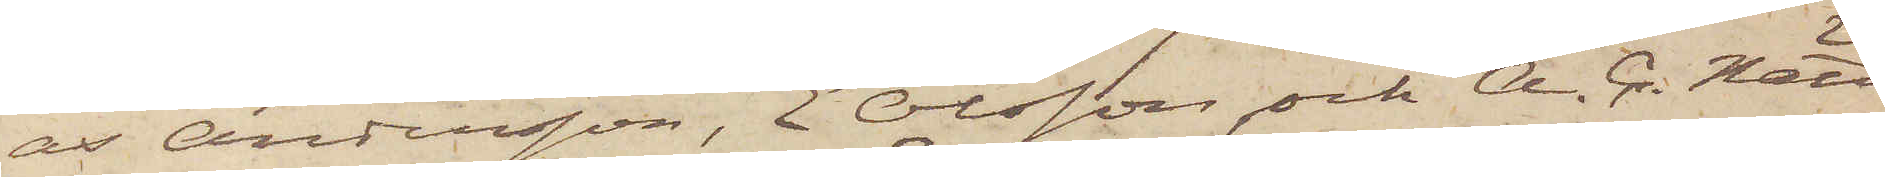as Andersson, E. Olsson och A. C. Nätt
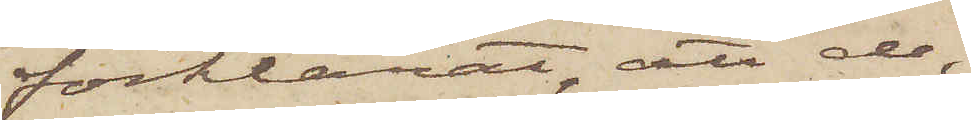förklarat, att de,
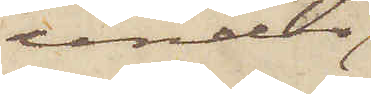under
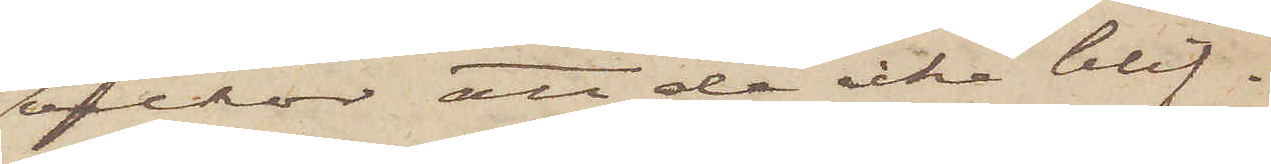villkor att de icke blif¬
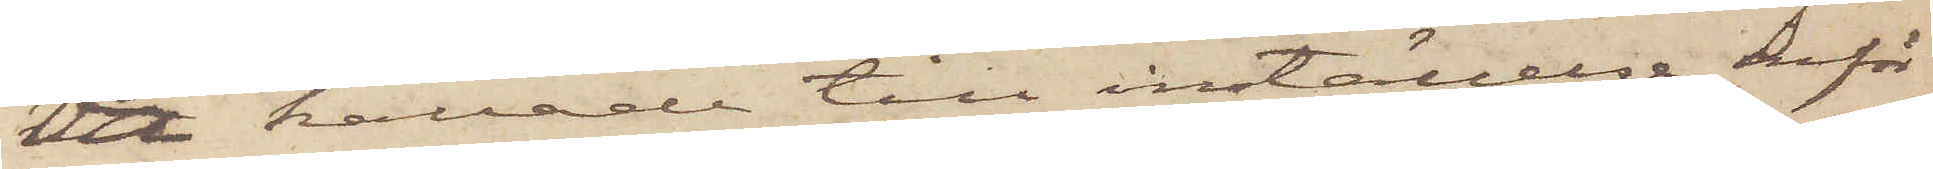va kallade till inställelse inför
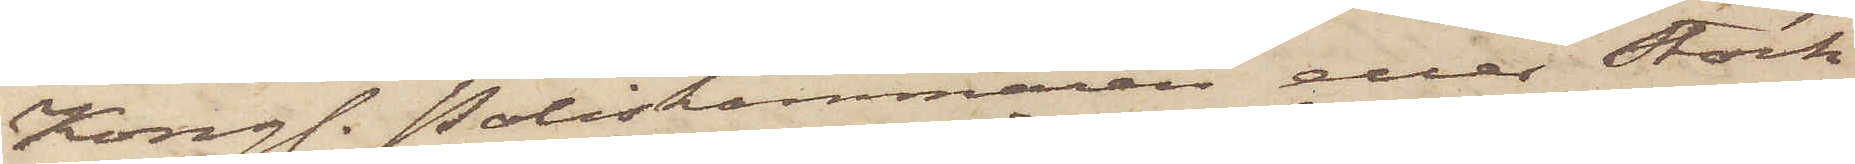Kongl. Poliskammaren eller Stock¬
